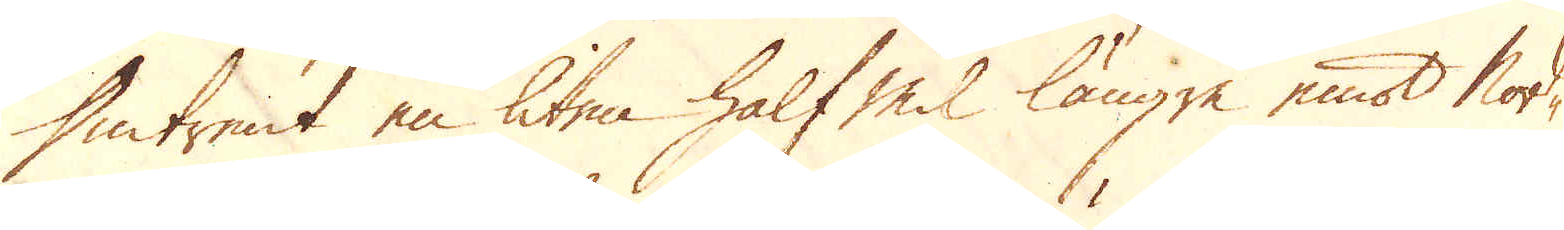Omtrent en liten half Mil längre emot Nord-
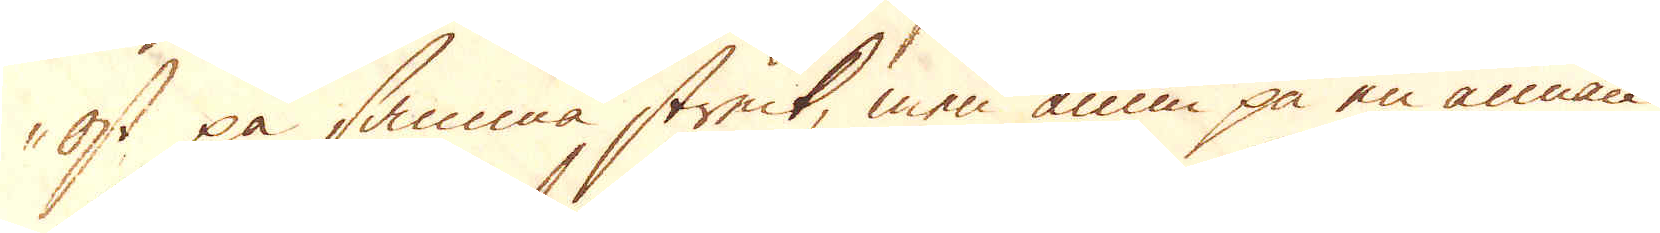ost på samma streck, men ännu på en annan
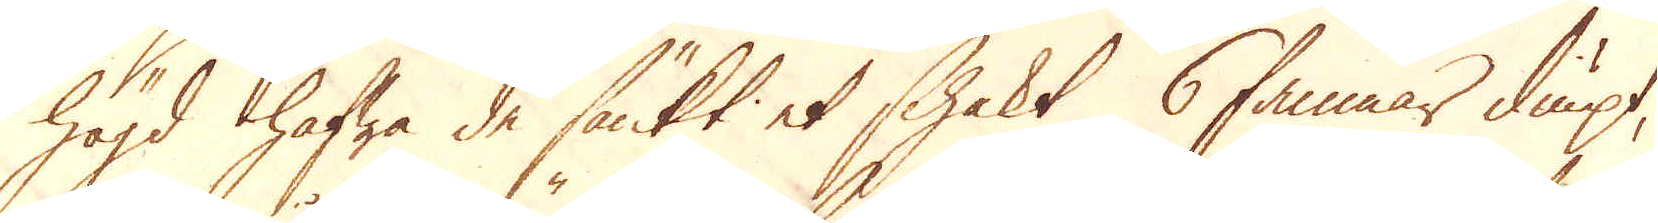högd hafwa de sänkt et schakt 6 famnar diupt,
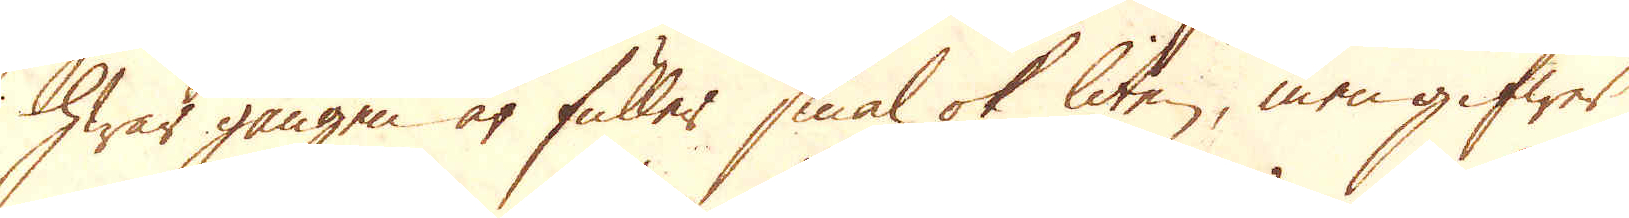hwar gången är fuller smal ok liten, men gifwer
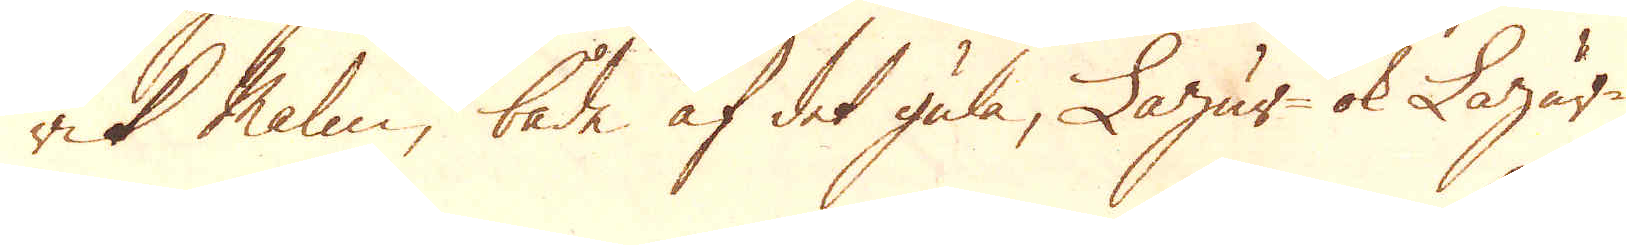rik Malm, både af det gula, Lazur- ok Lazär-
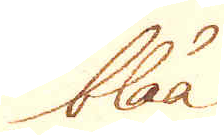blåa
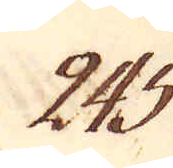245.
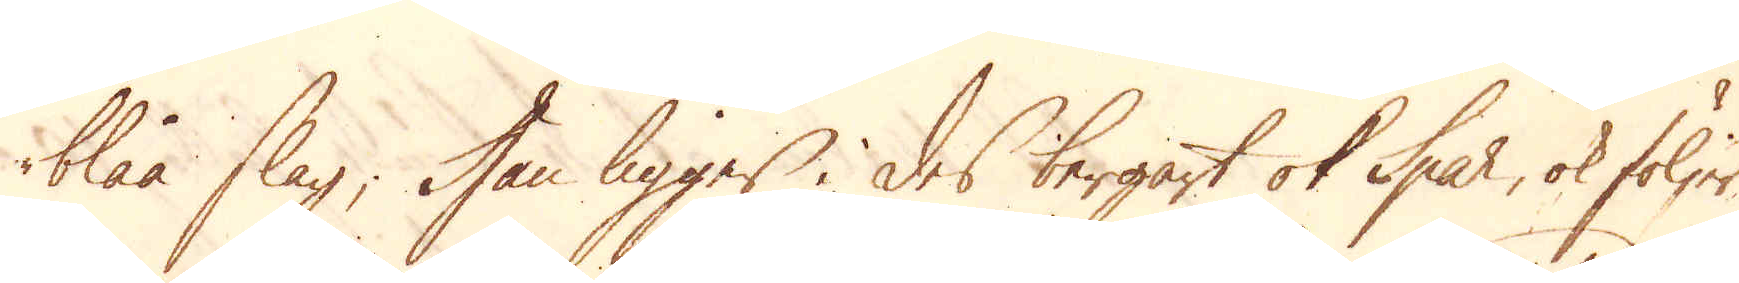blåa slag; Han ligger i des bergart ok Spar, ok följer,
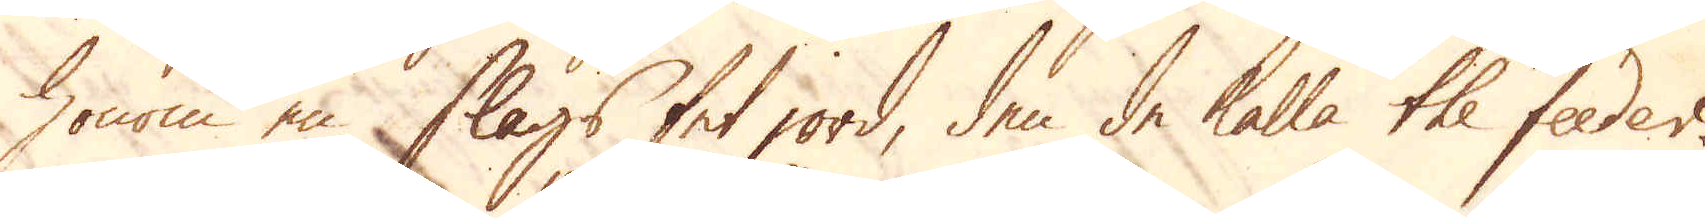honom en slags fet jord, den de kalla the feeder.
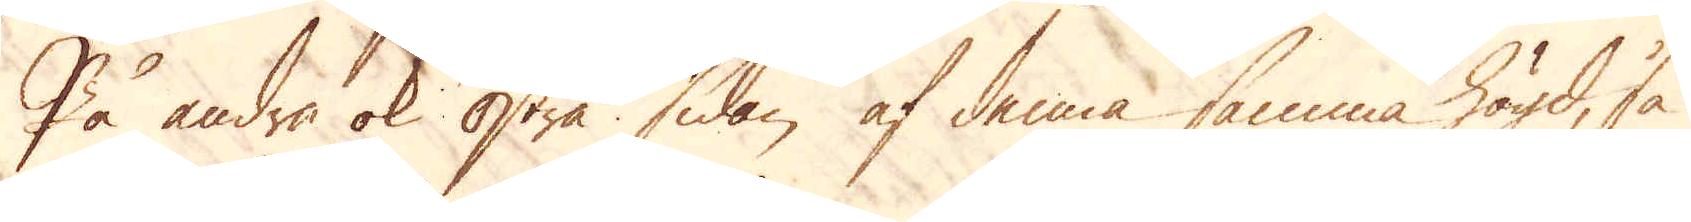På andra ok Östra sidan af denna samma högd, så
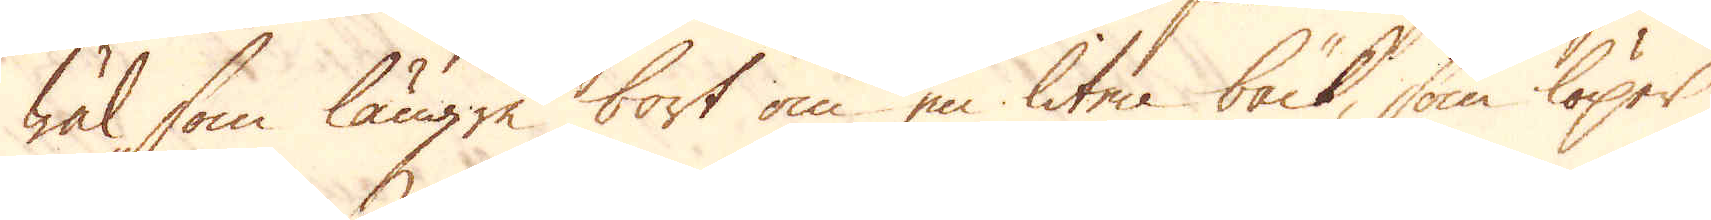wäl som längre bort om en liten bäck, som löper
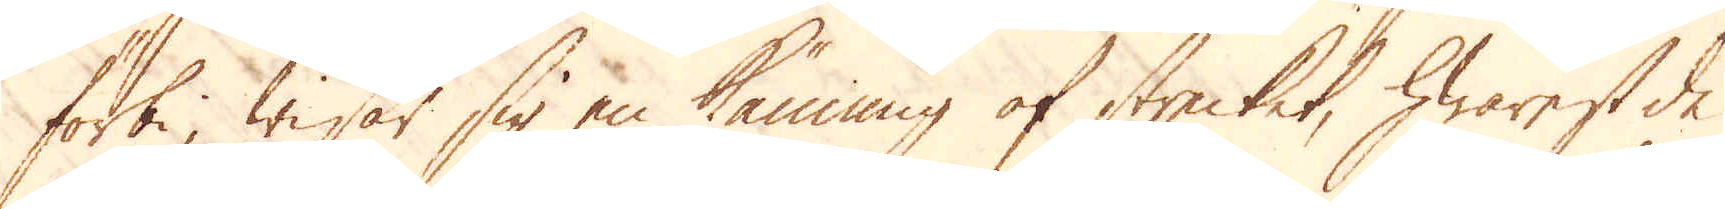förbi, wisar sig en känning af strecket, hwarest de
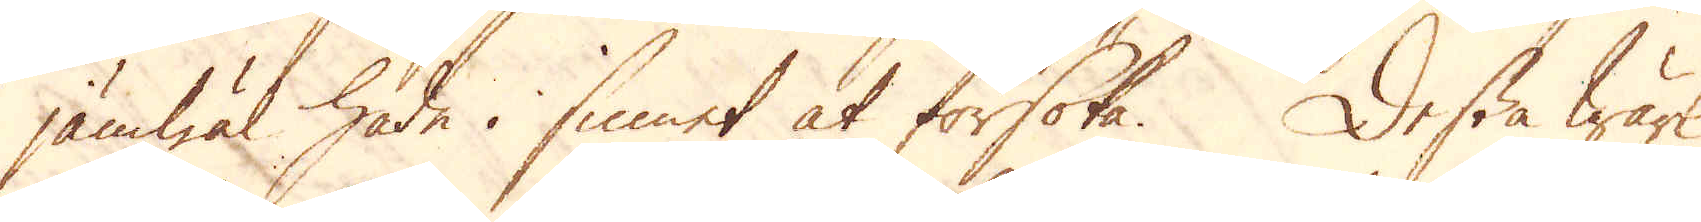jämwäl hade i sinnet at försöka. Dessa Wärk
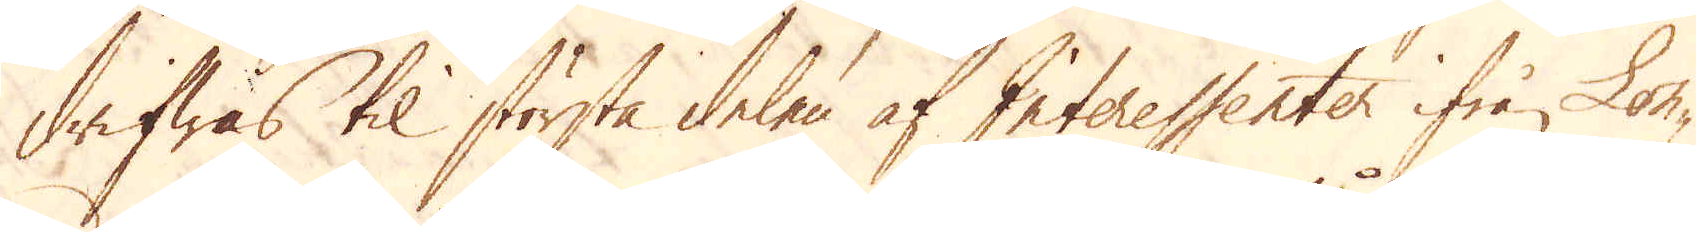drifwas til största delen af Interessenter ifrån Lon-
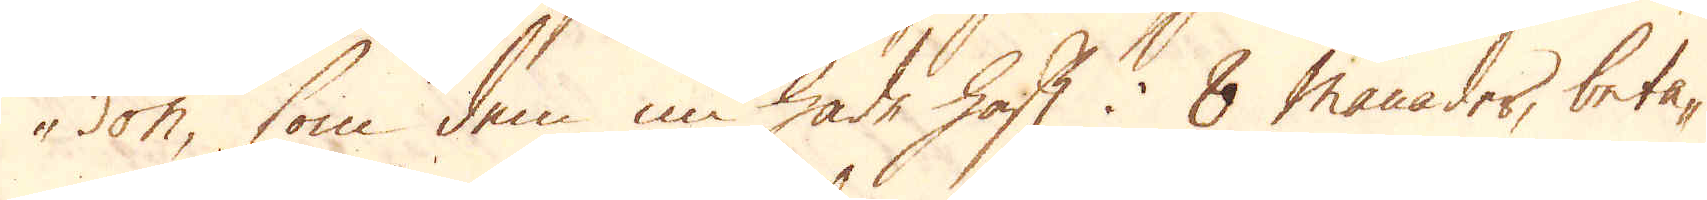don, som dem nu hade haft i 8 månader, beta-
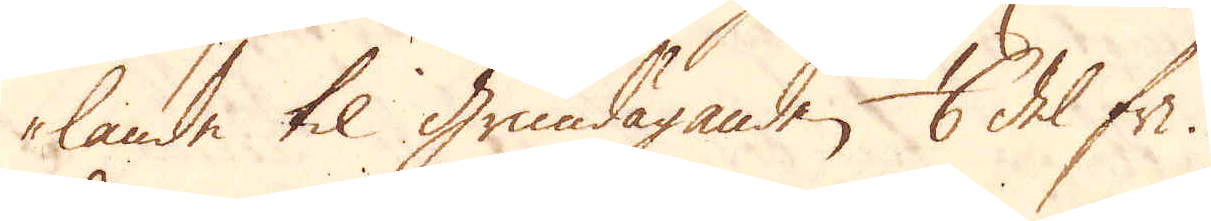lande til grundäganden 1/6 del fri.
